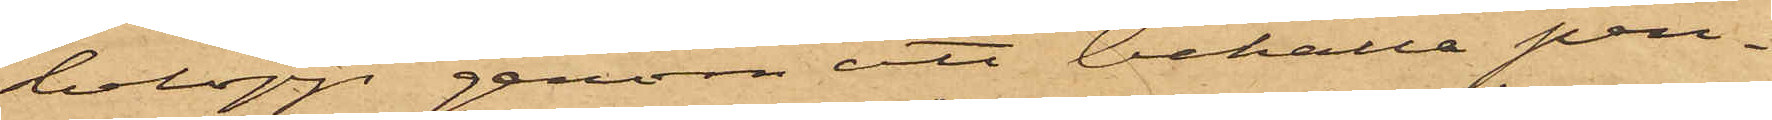belopp genom att behålla pen¬
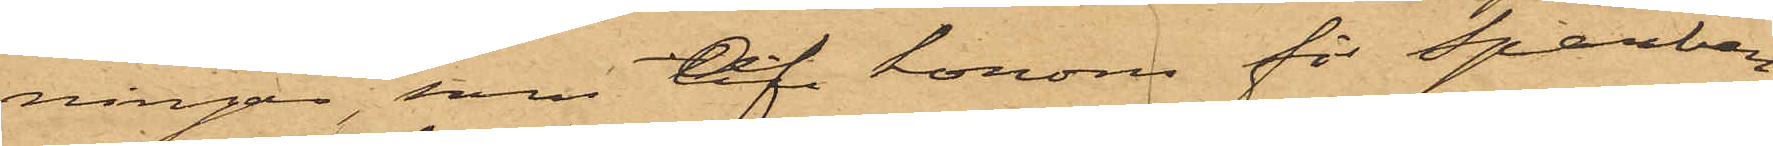ningar, som af honom för Sparban¬
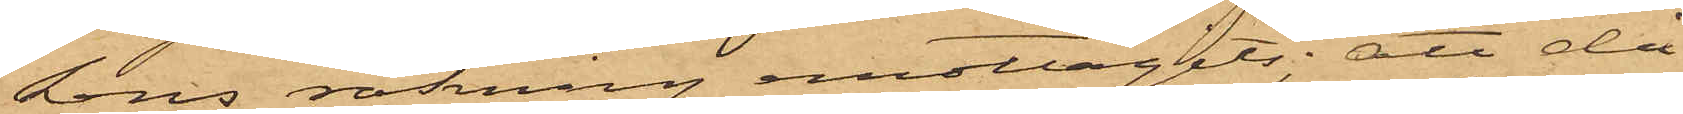kens räkning emottagits; att då
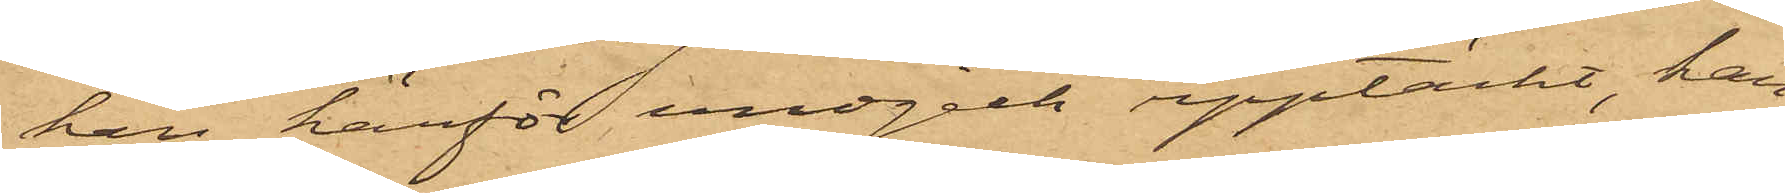han härför undgick upptäckt, han
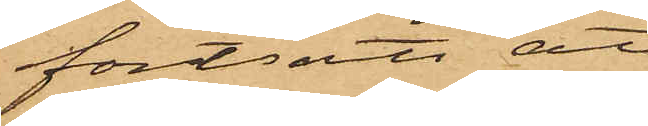fortsatt att
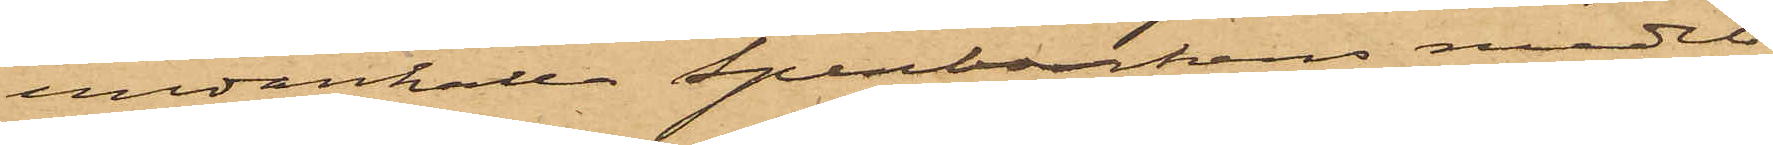undanhålla Sparbankens medel,
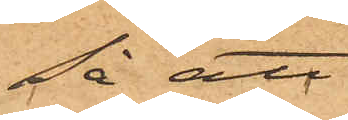så att,
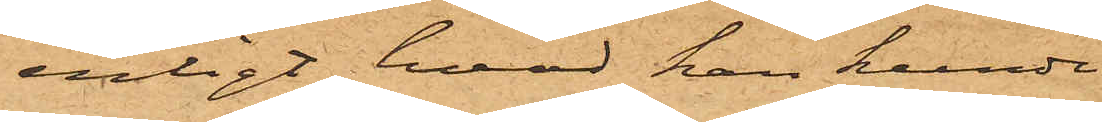enligt hvad han kunde
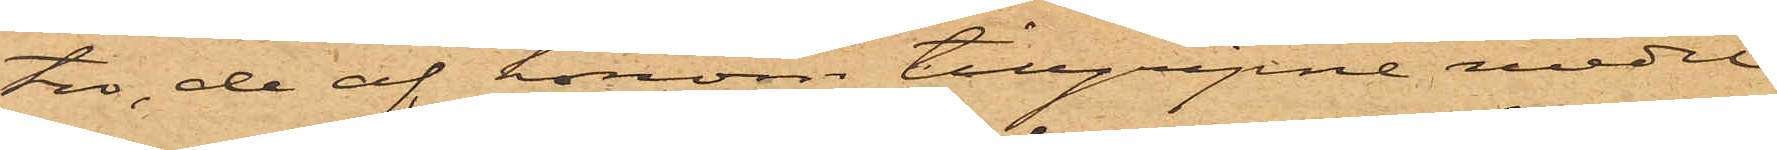tro, de af honom tillgripne medel
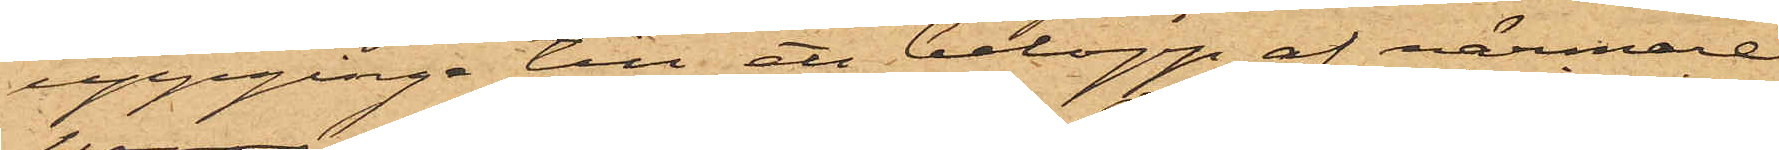uppgingo till ett belopp af närmare
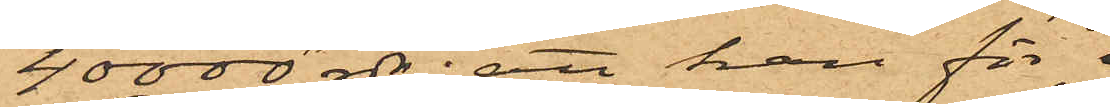40000 rdr: att han för
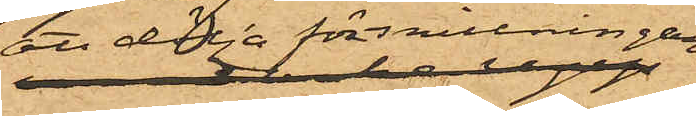att dölja förskingringen
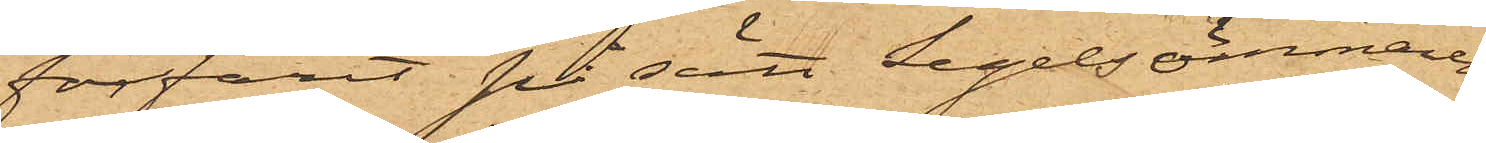förfarit på sätt Segelsömmaren
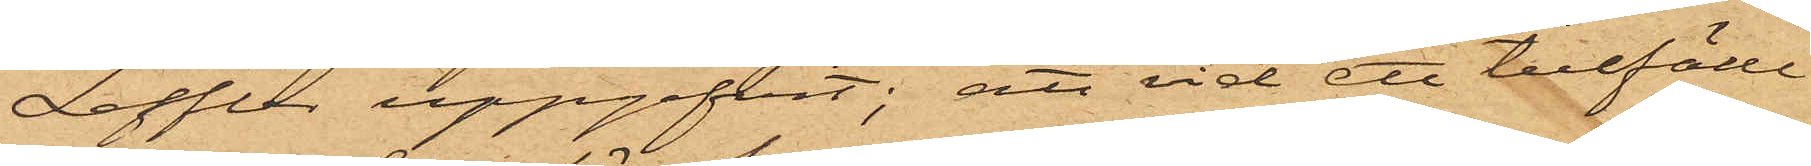Leffler uppgifvit; att vid ett tillfälle
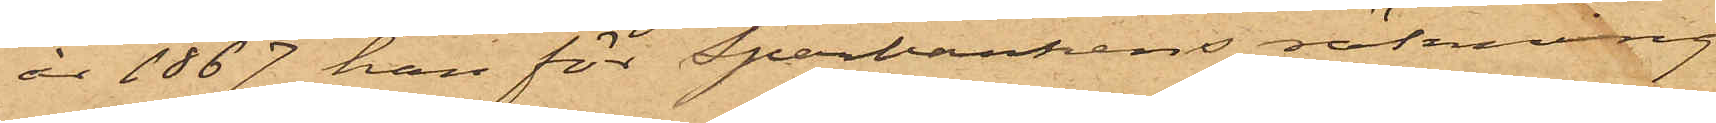år 1867 han för Sparbankens räkning
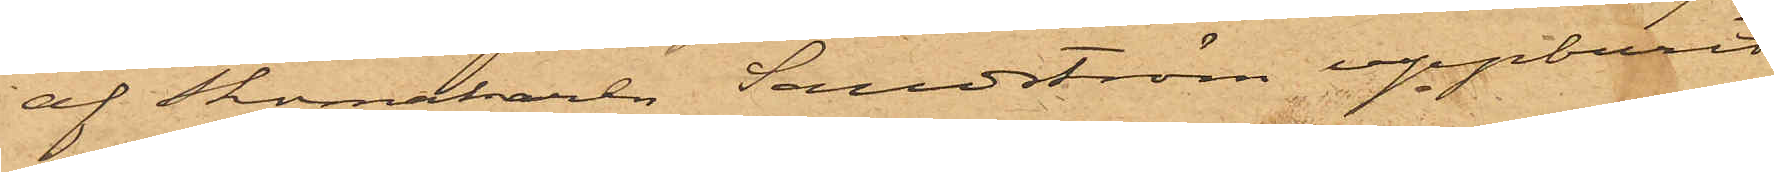af Skomakaren Sandström uppburit
